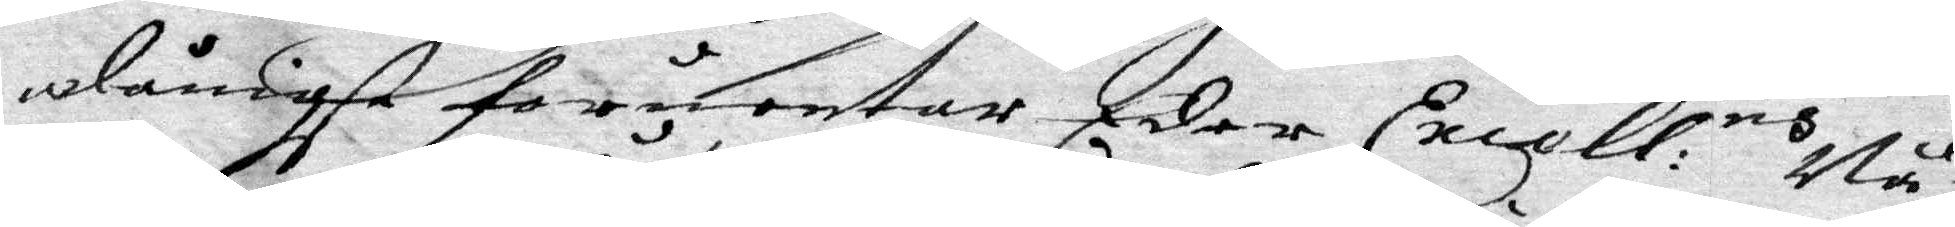dånigst forventar Eders Excell:ns Nå¬
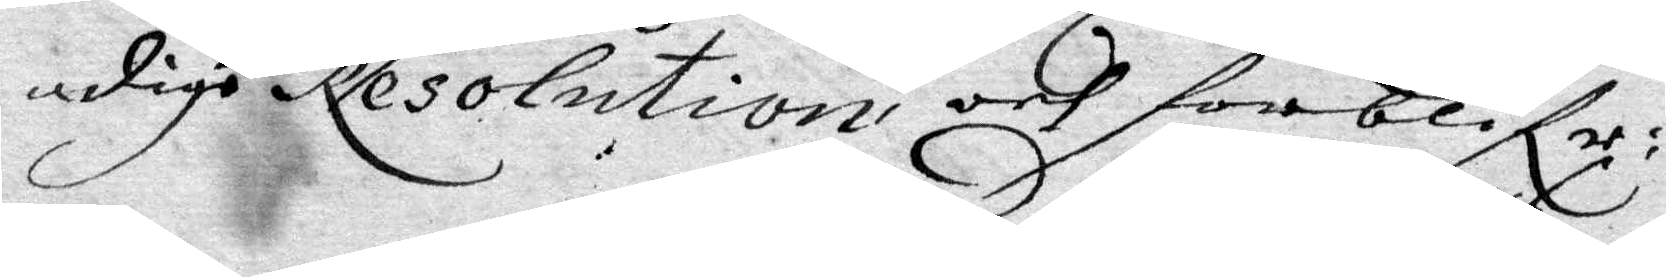dige Resolution, och forblifr:
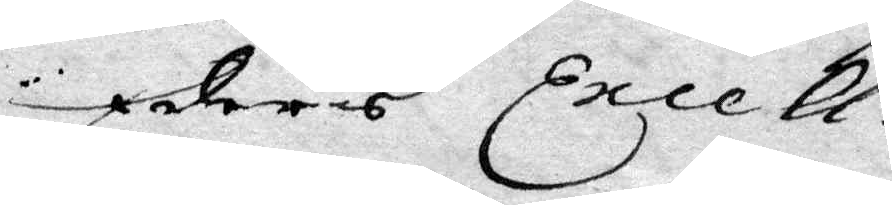Eders Excell:s
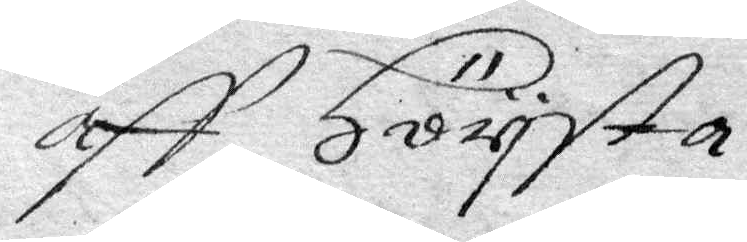aff Hörista
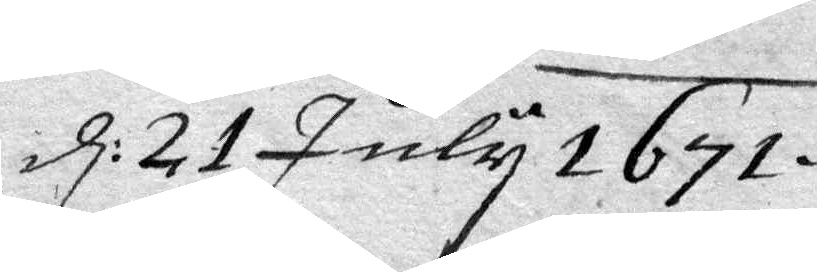d: 21 July 1671.
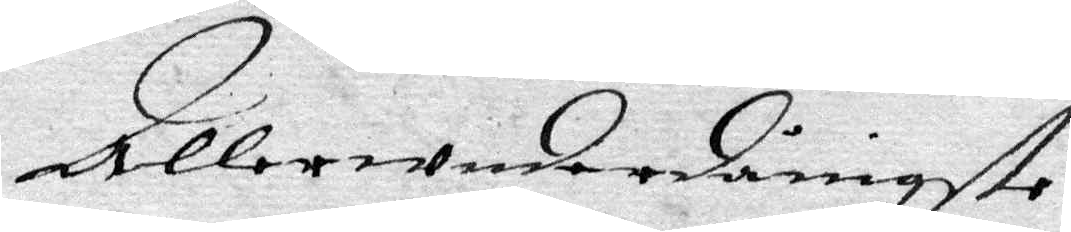AllerUnderdånigste
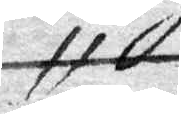H
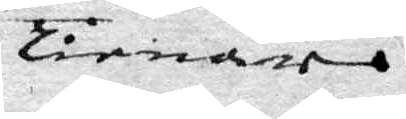Tienare
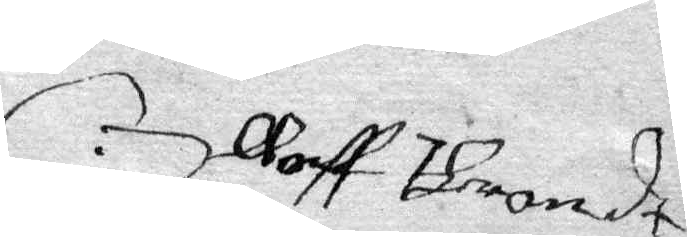Oloff Thront
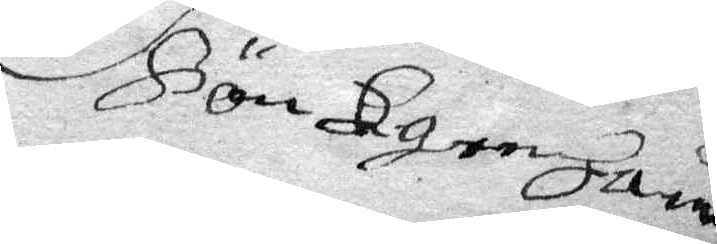HönKgenhard
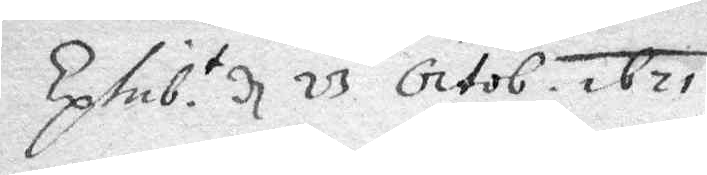Eclub.t d 23 Octb. 1671.
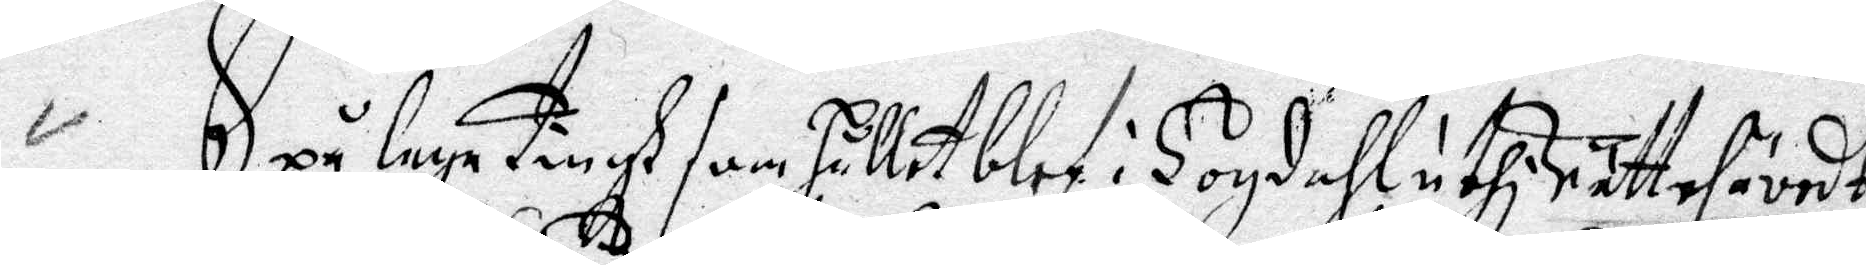Upå laga Tingh som Hållit blef i Hogdahl uthi rätt af ävrdt
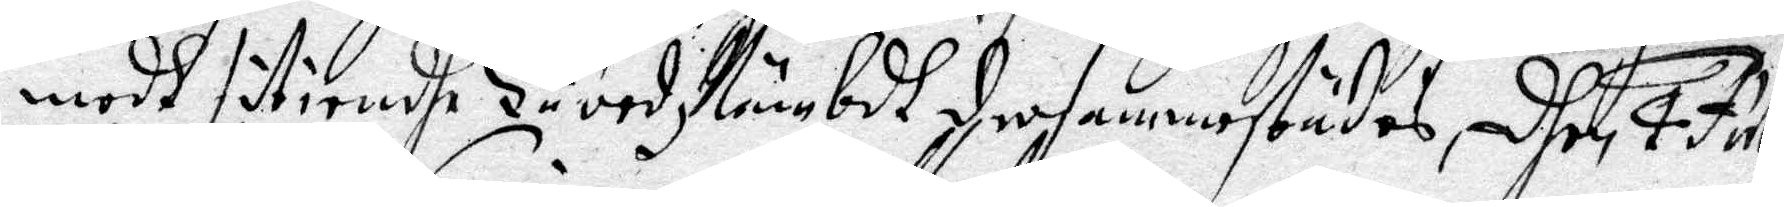medh sitiendhe HäredzNämbdh der sammestädes, dhen 4 July
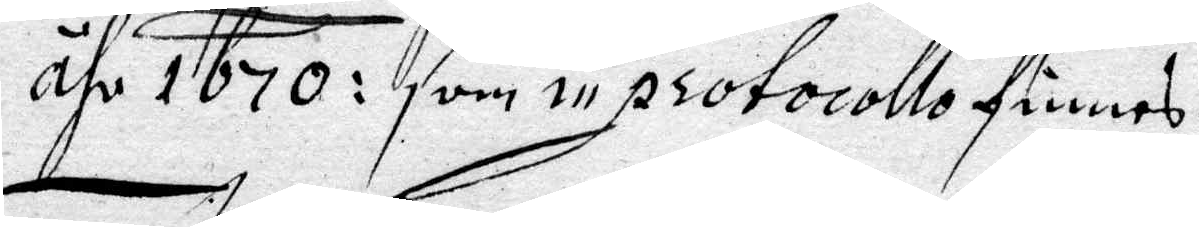åhr 1670:som in protocollo finnes.
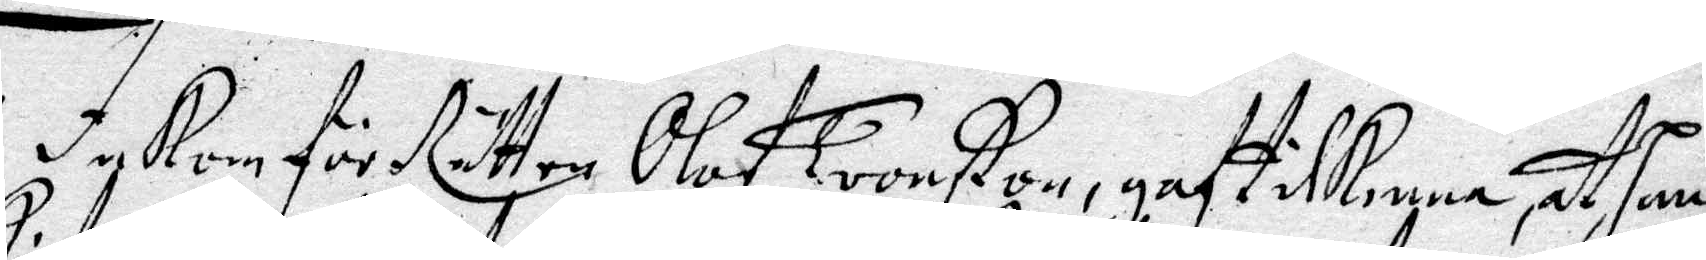In Kom för Rätten Olof Tronßon, gaf til Kenna at Hans
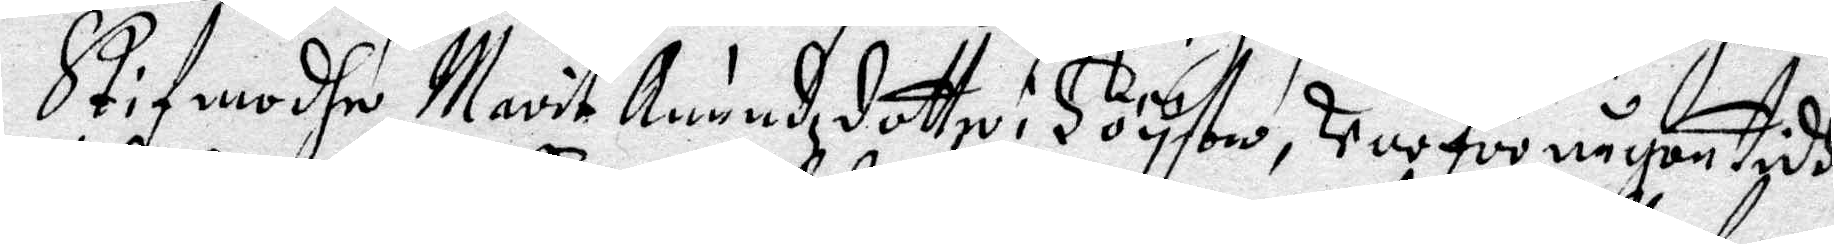Stifmodhe Marit Anundzdotte i Höystio, Var för någon tifh
